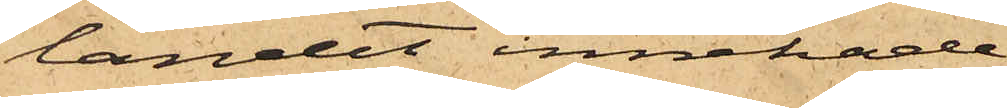landet innehade.
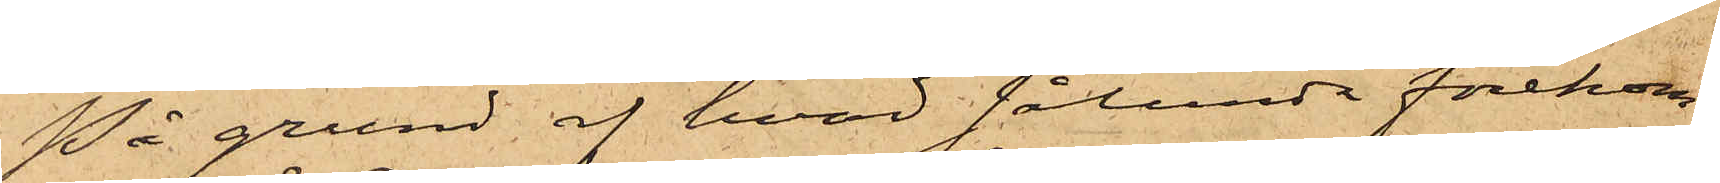På grund af hvad sålunda förekom¬
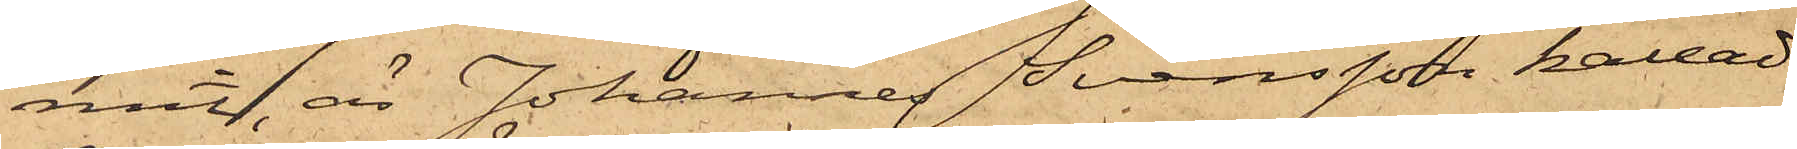mit, är Johannes Svensson kallad
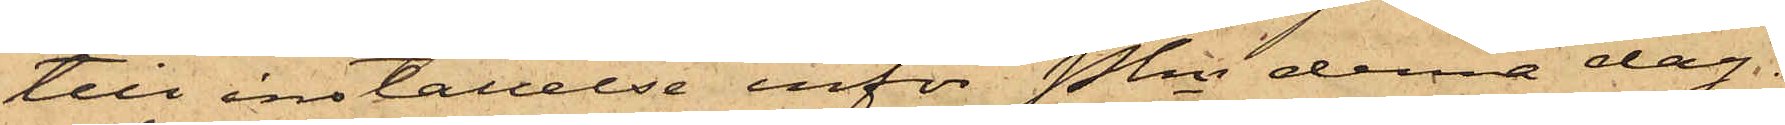till inställelse inför Pkn denna dag.
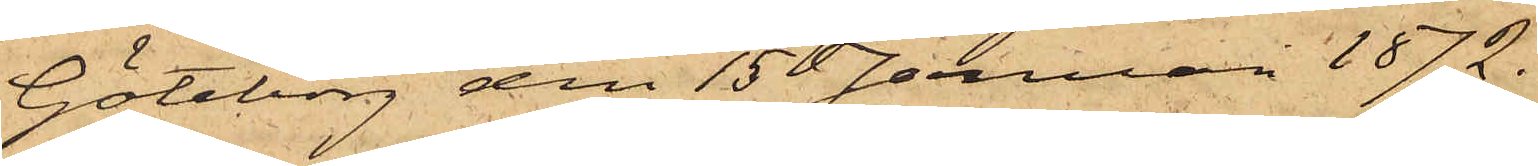Göteborg den 15 Januari 1872.
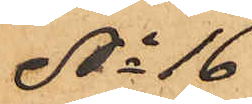No 16
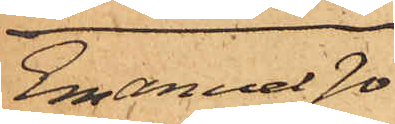Emanuel Jo¬
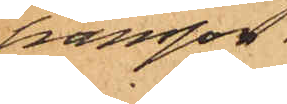hansson.
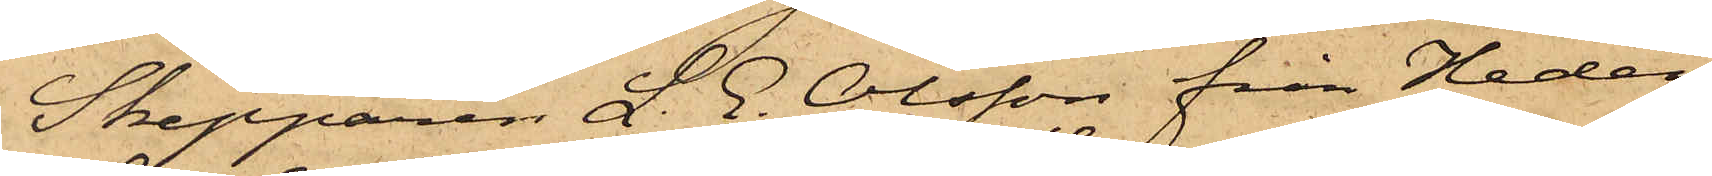Skepparen J. E. Olsson från Heden
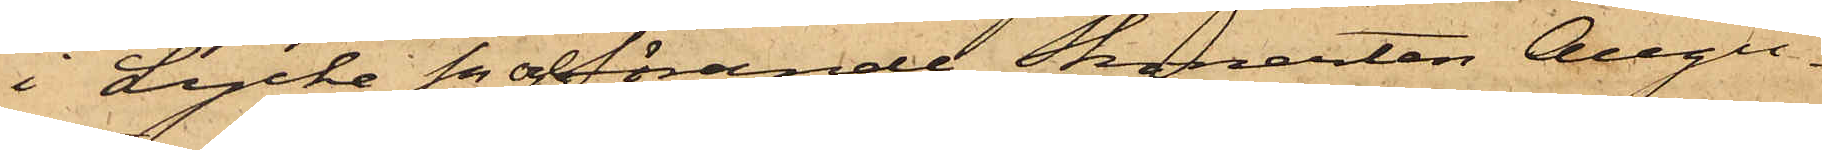i Lycke Sn och förande Skonerten Augu¬
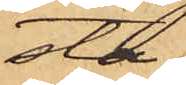sta,
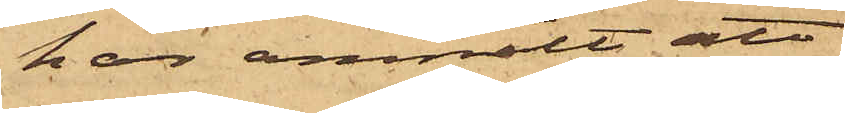har anmält att
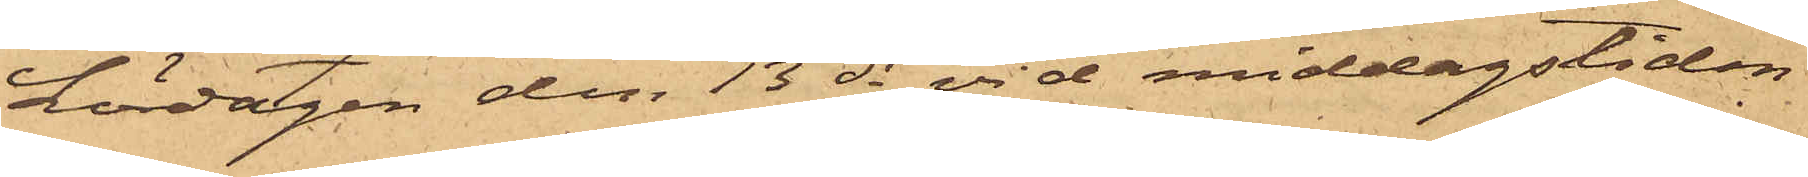Lördagen den 13 ds vid middagstiden
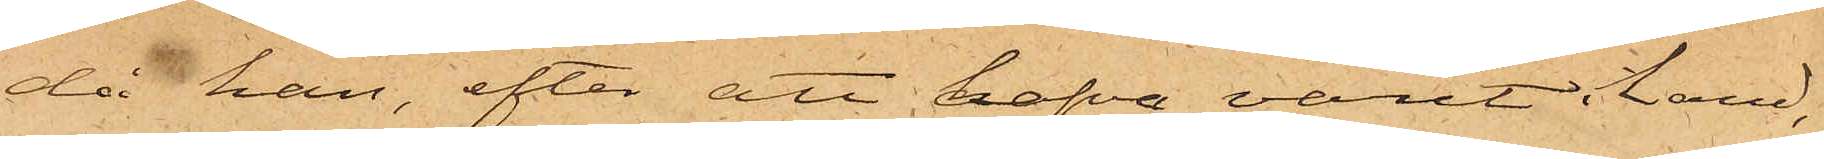då han, efter att hafva varit i land,
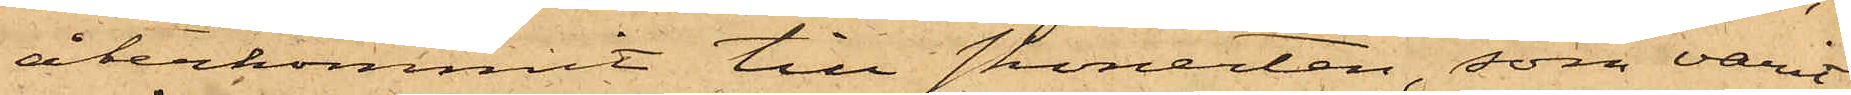återkommit till skonerten, som varit
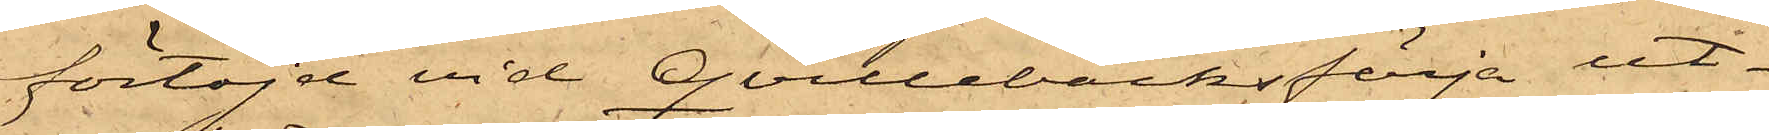förtöjd vid Qvillebäcksfärja ut¬
